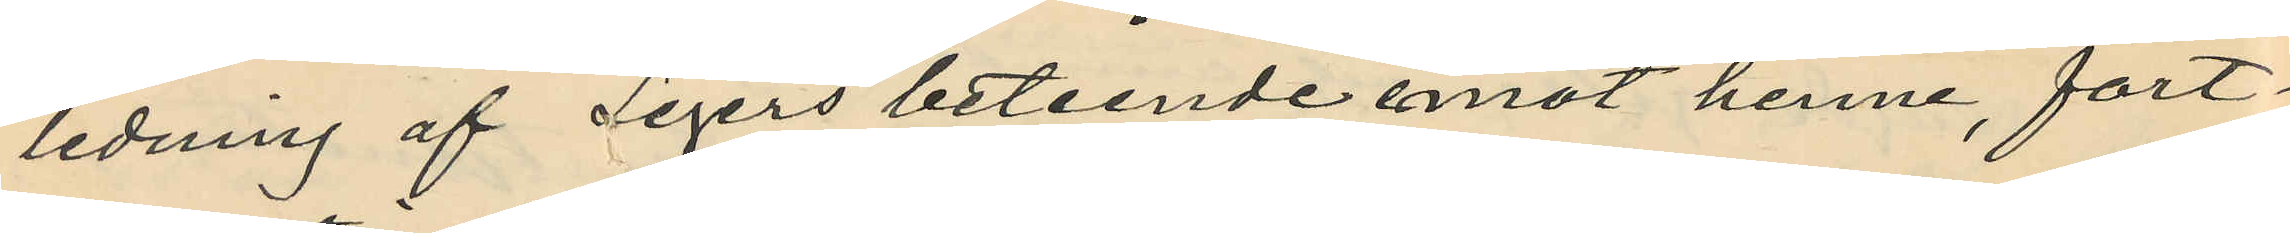ledning af Segers beteende emot henne, fort¬
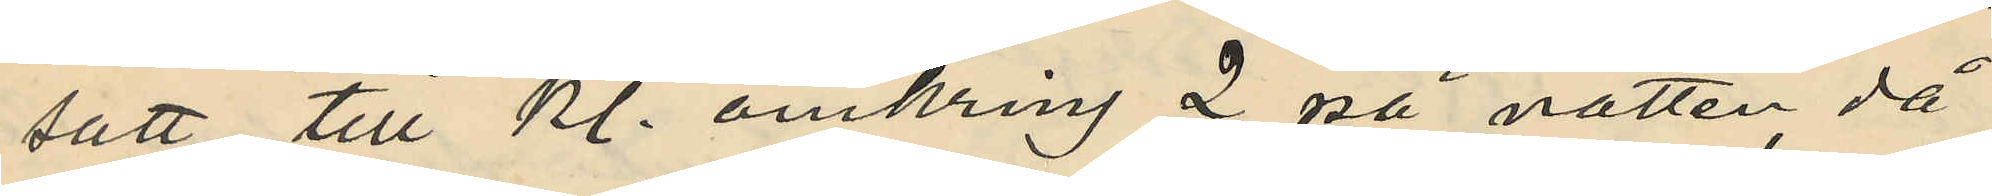satt till Kl. omkring 2 på natten då
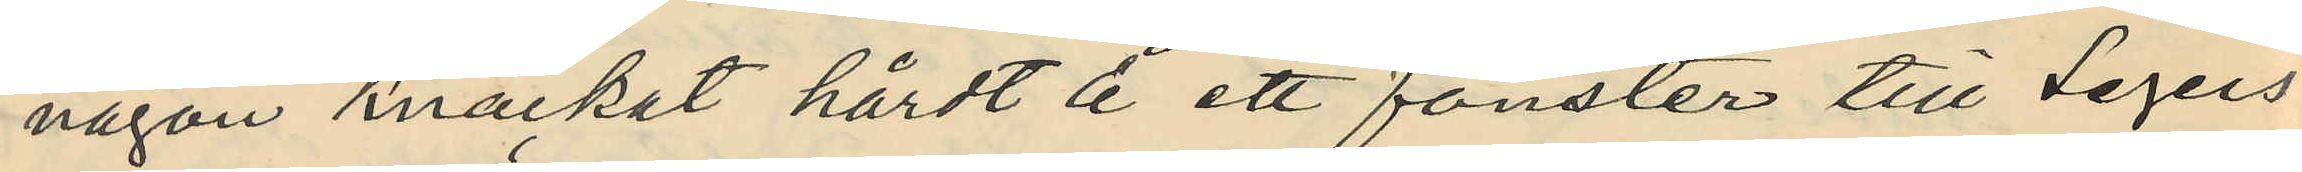någon knackat hårdt å ett fönster till Segers
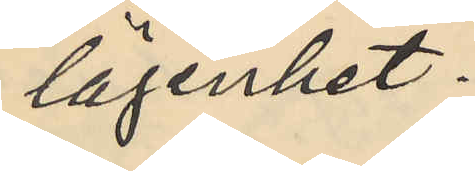lägenhet.
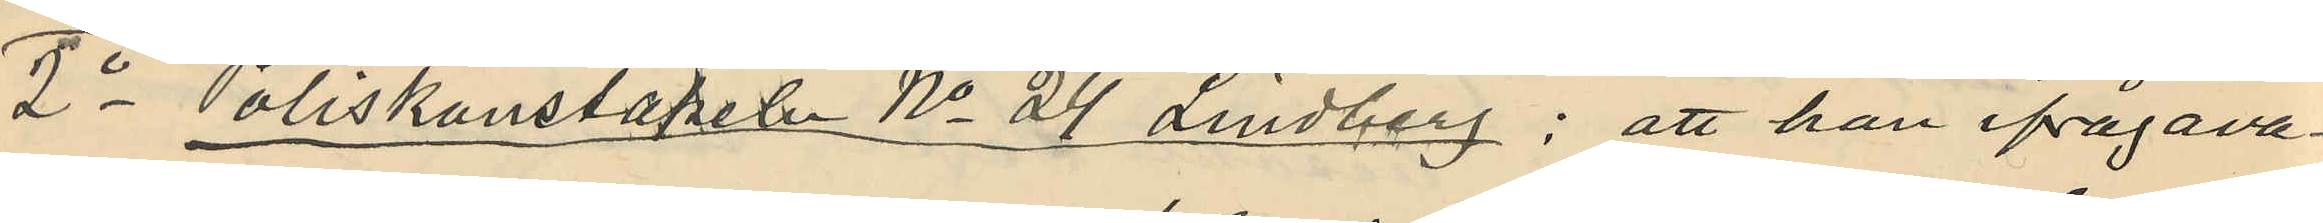2o Poliskonstapeln No 24 Lindberg; att han ifrågava¬
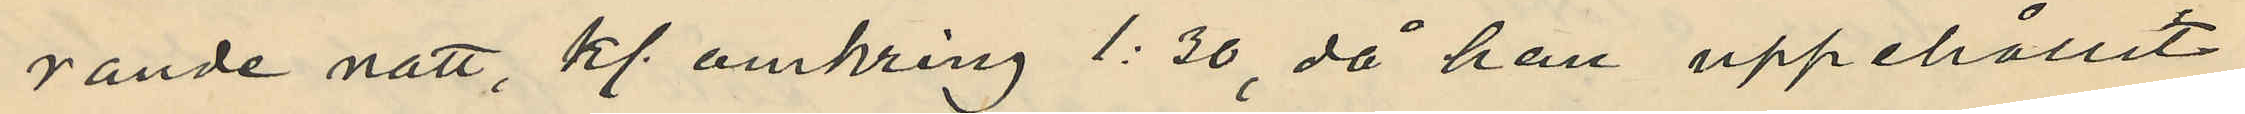rande natt, kl omkring 1:30, då han uppehållit
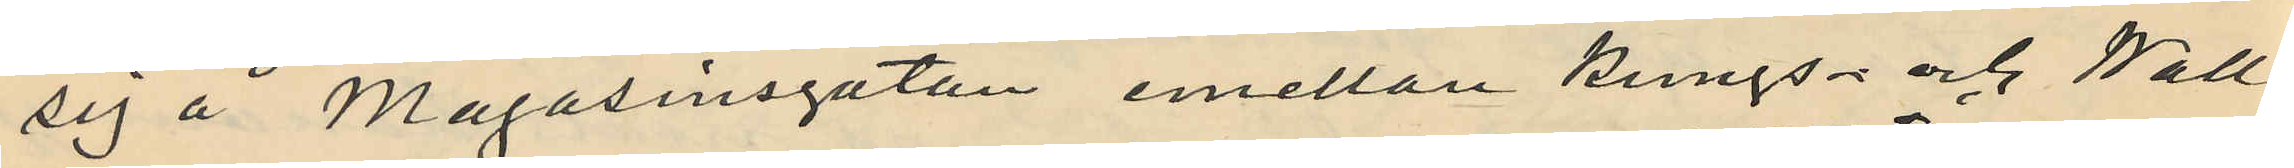sig å Magasinsgatan emellan Kungs- och Wall¬
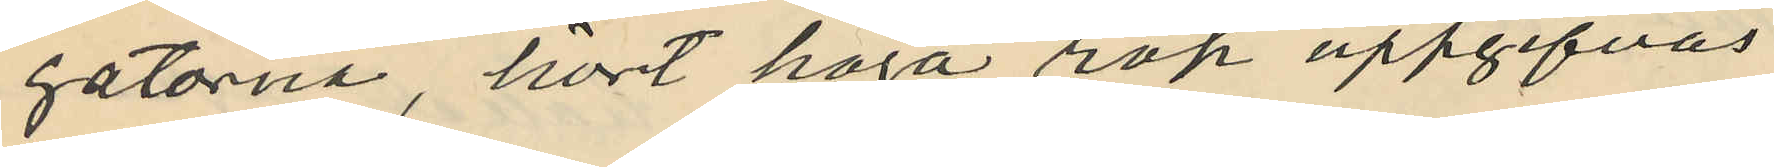gatorna, hört höga rop uppgifvas
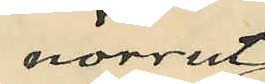norrut
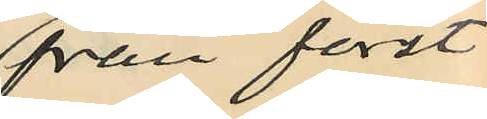från först
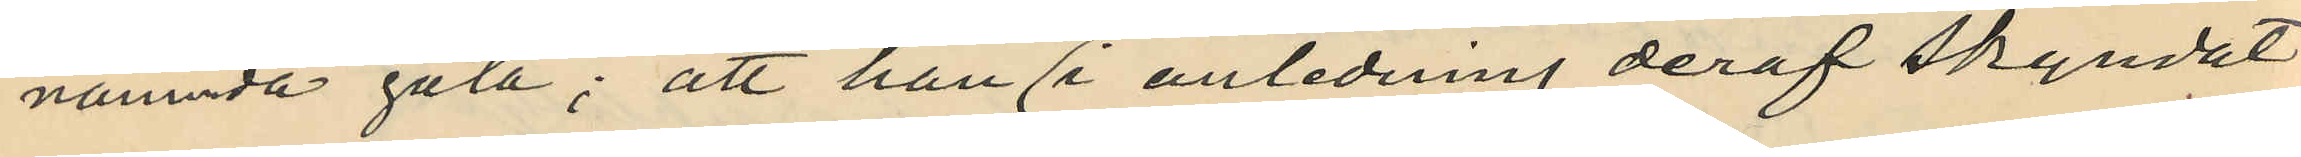nämnda gata; att han i anledning deraf skyndat
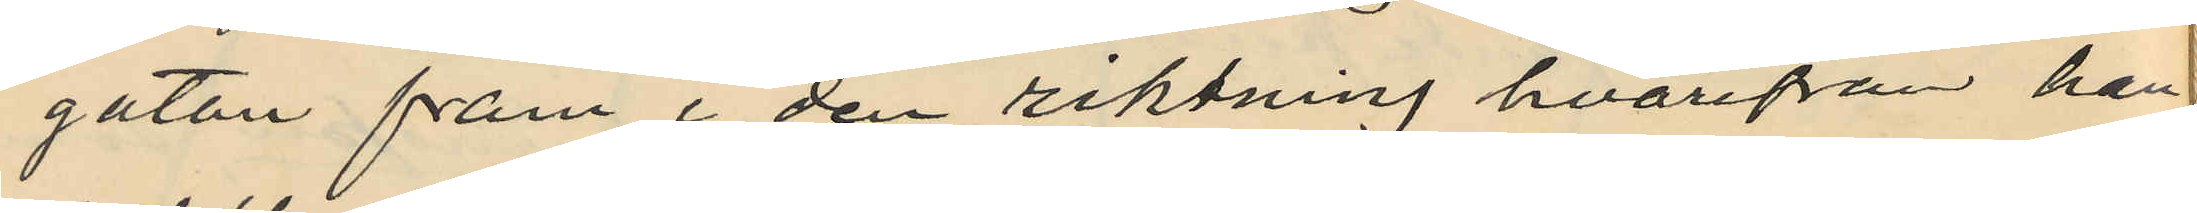gatan fram i den riktning hvarifrån han
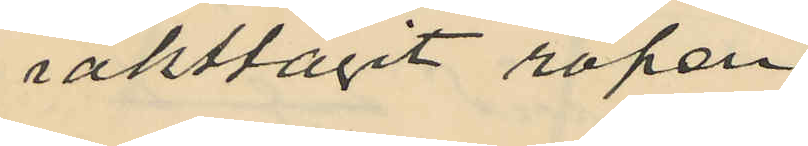iakttagit ropen
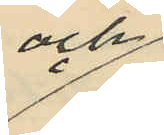och
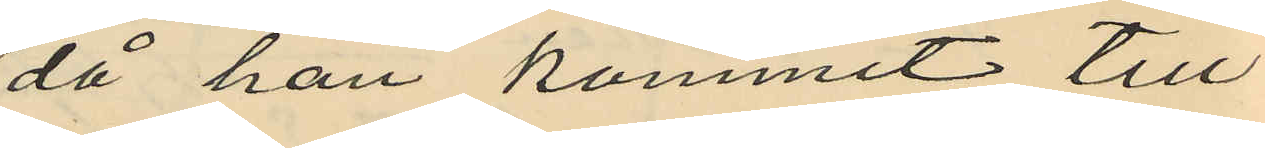då han kommit till
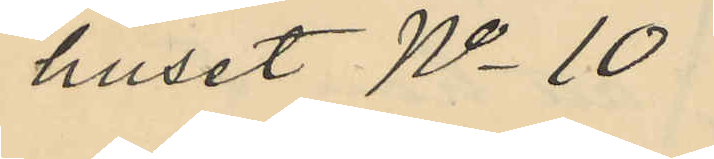huset No 10
